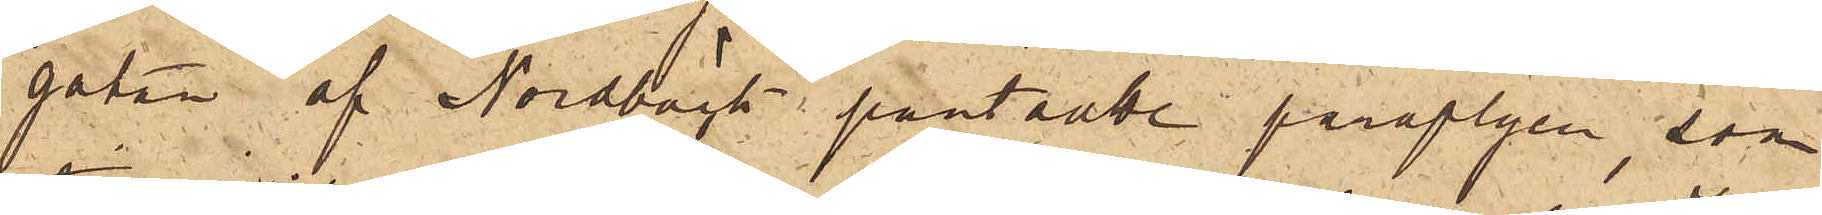gatan af Nordbäck pantsatte paraplyen, som
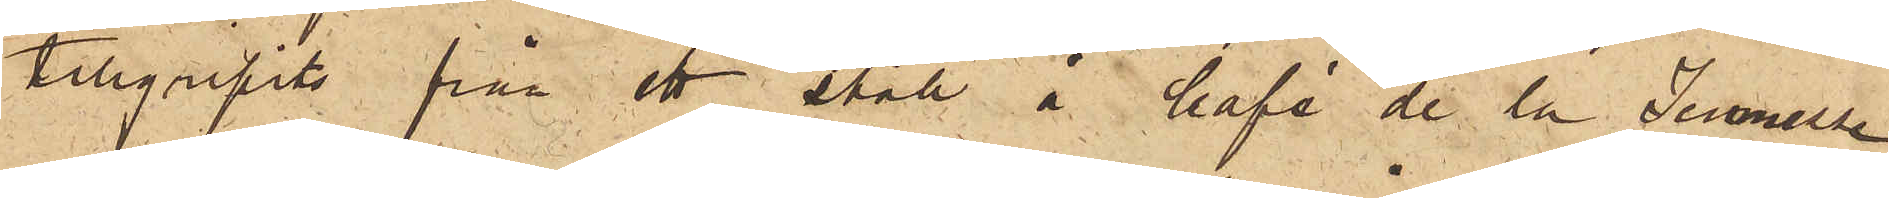tillgripits från ett ställ å Café de la Jeunesse.
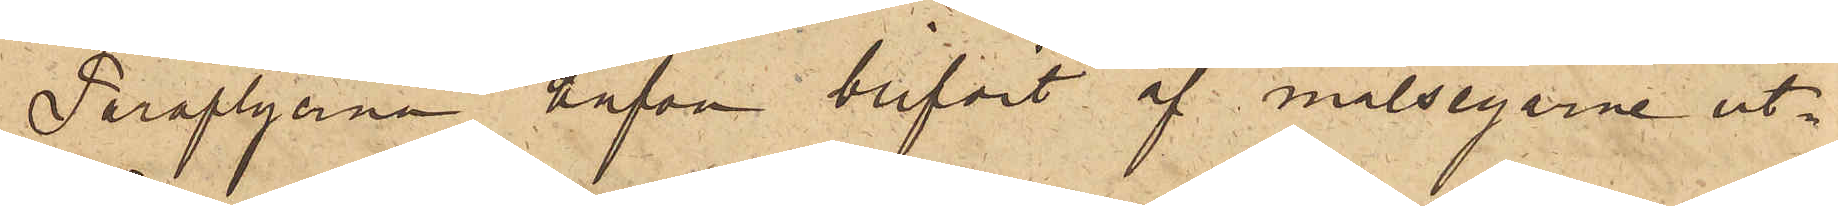Paraplyerna hafva blifvit af målsegarne ut¬
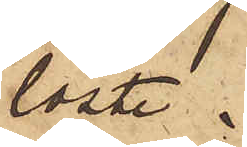löste.
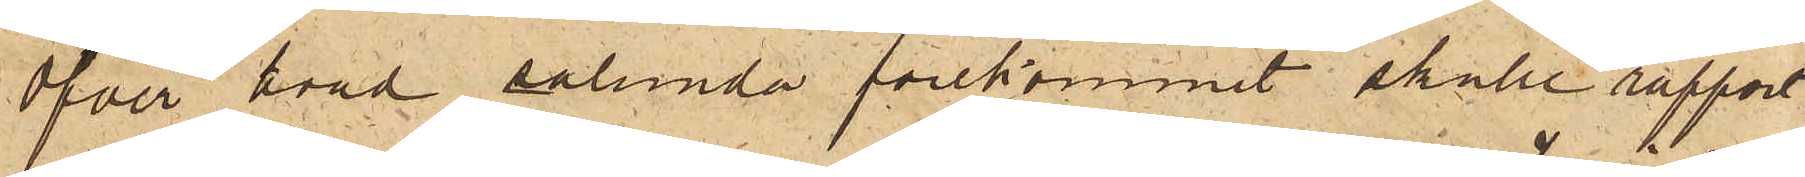Öfver hvad sålunda förekommit skulle rapport
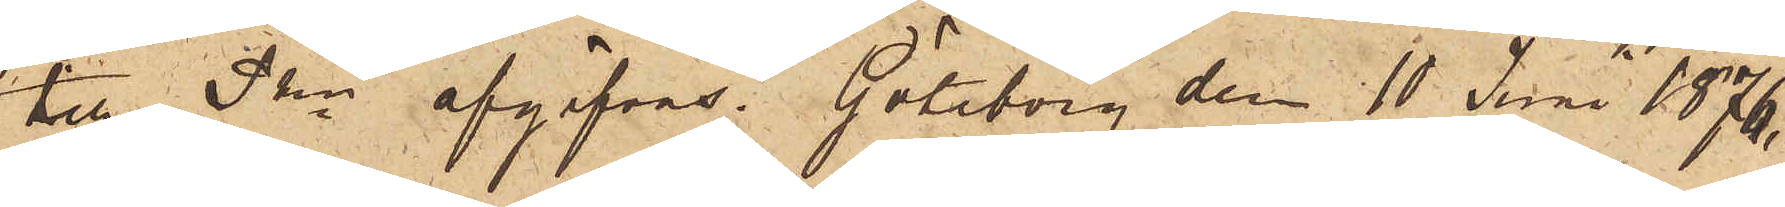till Pkn afgifvas. Göteborg den 10 Juni 1876.
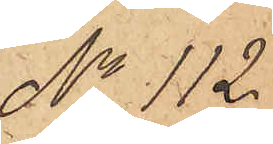No 112.
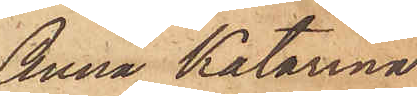Anna Katarina
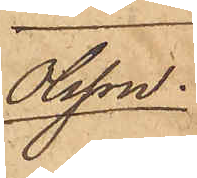Olsson.
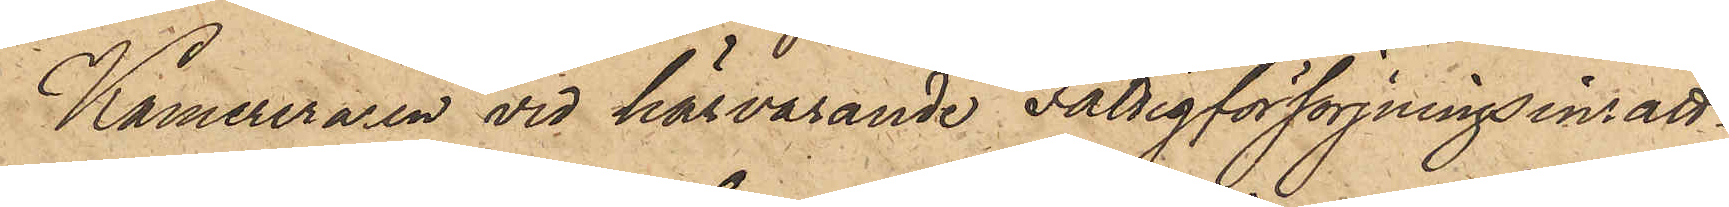Kamreraren vid härvarande Fattigförsörjningsinrätt¬
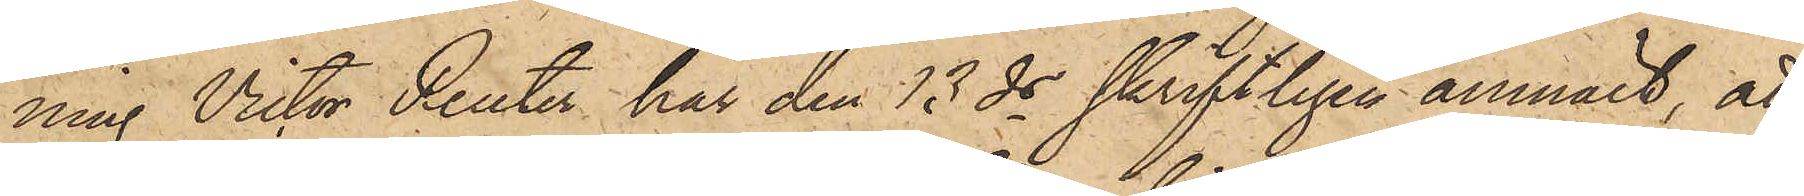ning Victor Reuter har den 13 ds skriftligen anmält, att
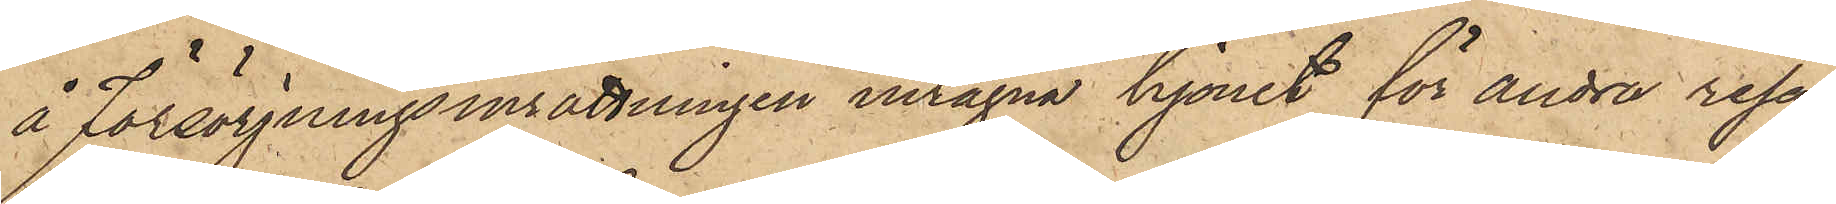å försörjningsinrättningen intagna hjonet för andra resan
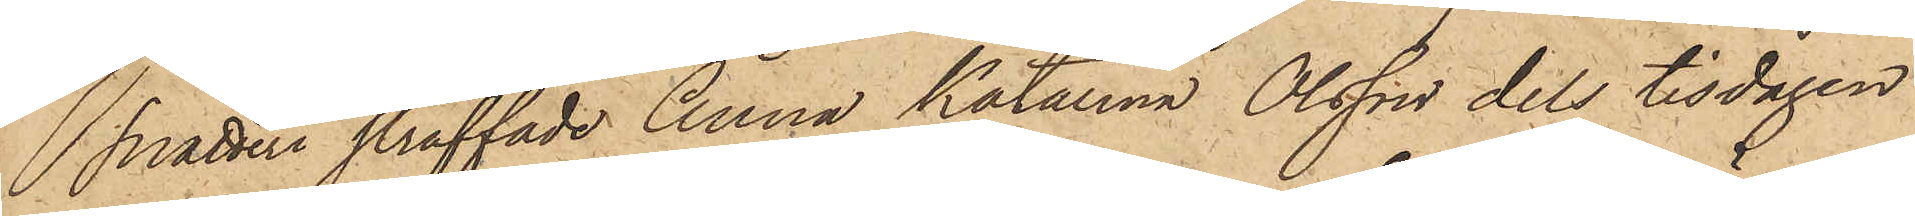snatteri straffade Anna Katarina Olsson dels tisdagen
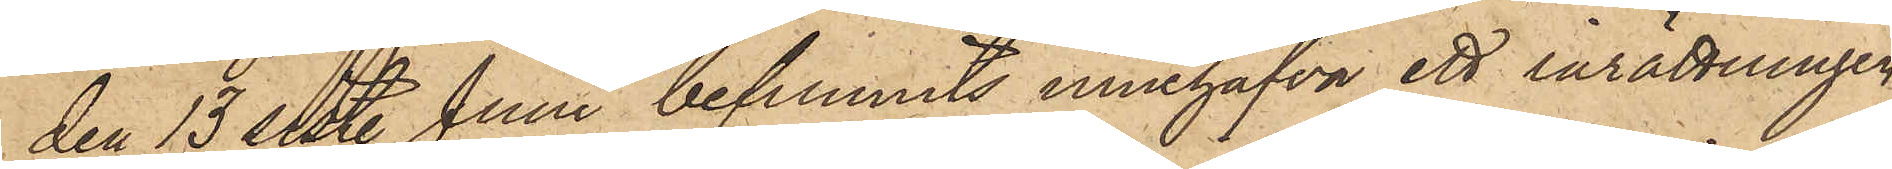den 13 sist. Juni befunnits innehafva ett inrättningen
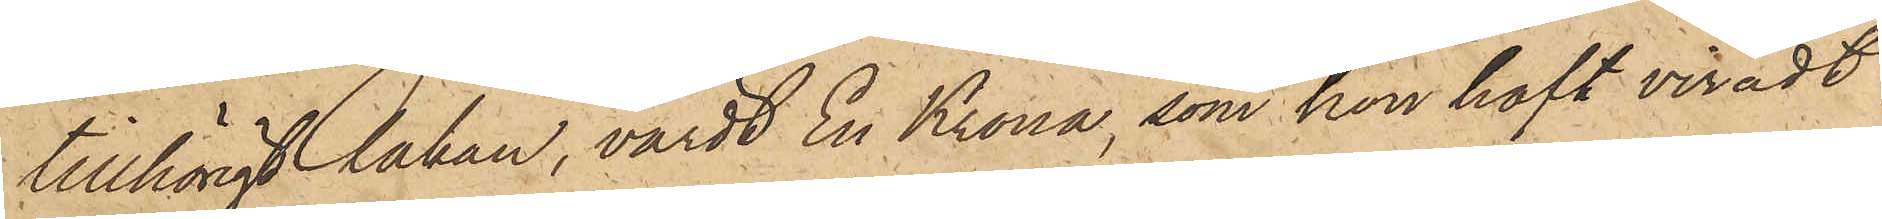tillhörigt lakan, värdt En Krona, som hon haft viradt
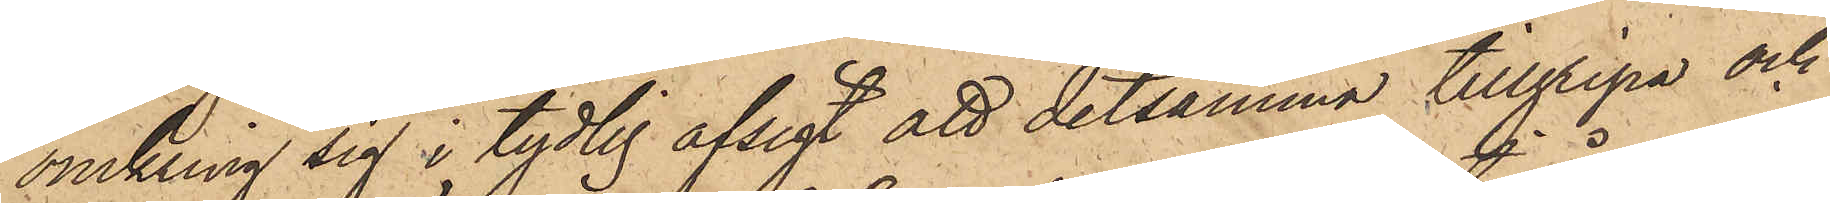omkring sig i tydlig afsigt att detsamma tillgripa och
